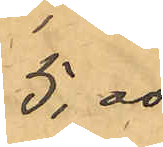5,00
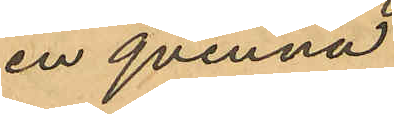en qvinna
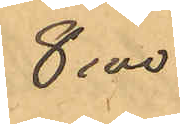8,00
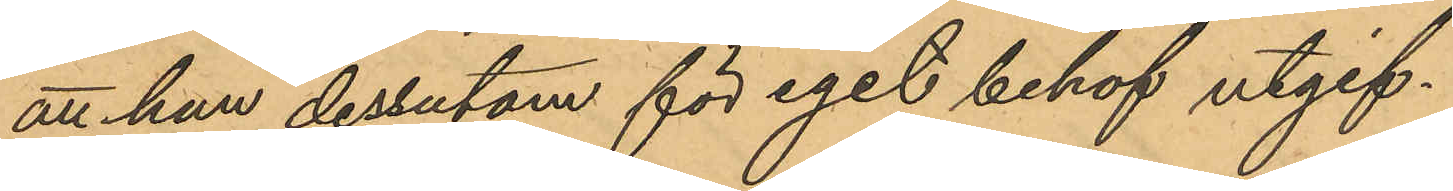att han dessutom för eget behof utgif¬
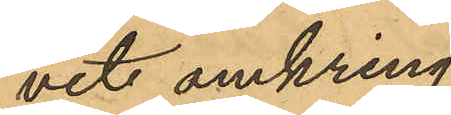vit omkring
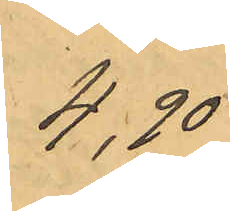4,20
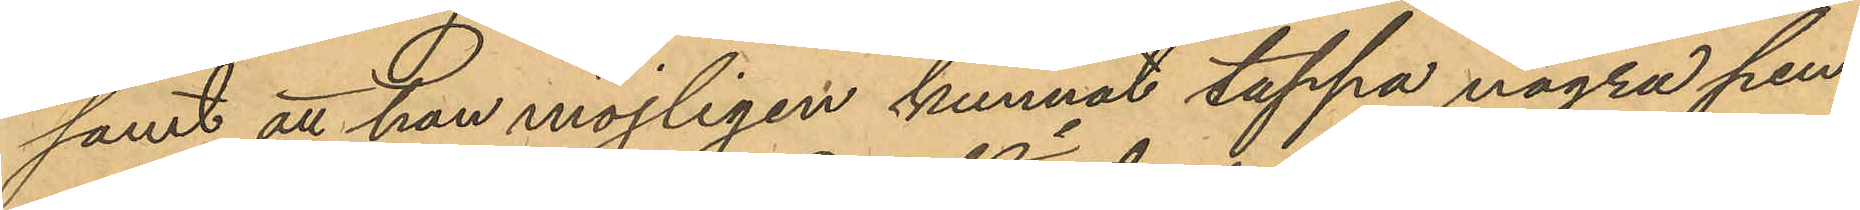samt att han möjligen kunnat tappa några pen¬
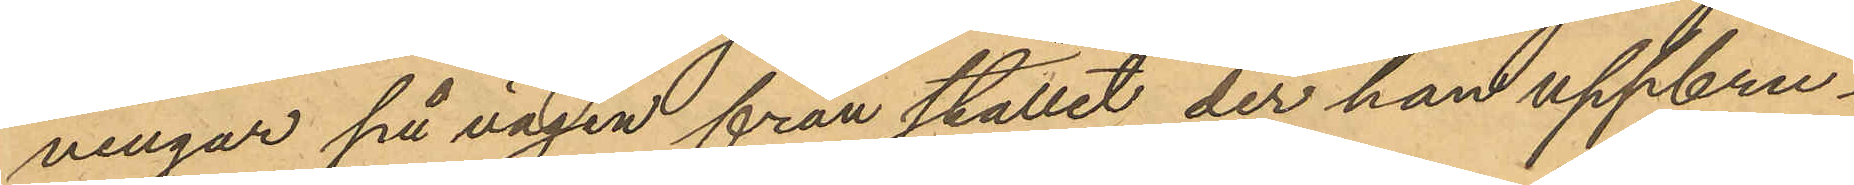ningar på vägen från stället der han uppbru¬
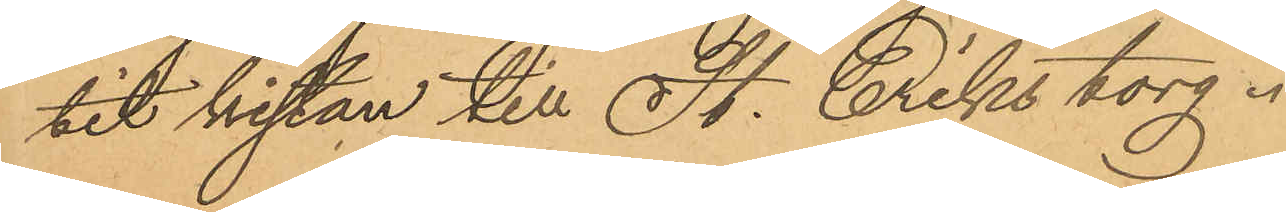tit kistan till St. Eriks torg.
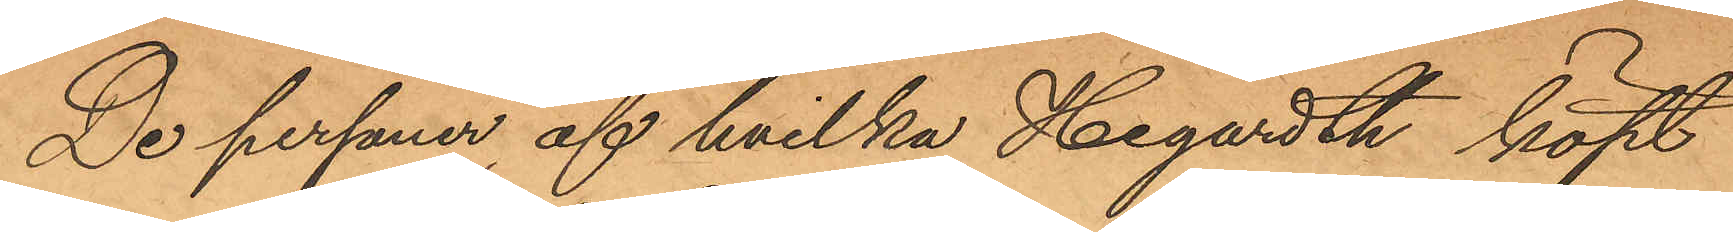De personer, af hvilka Hegardth köpt
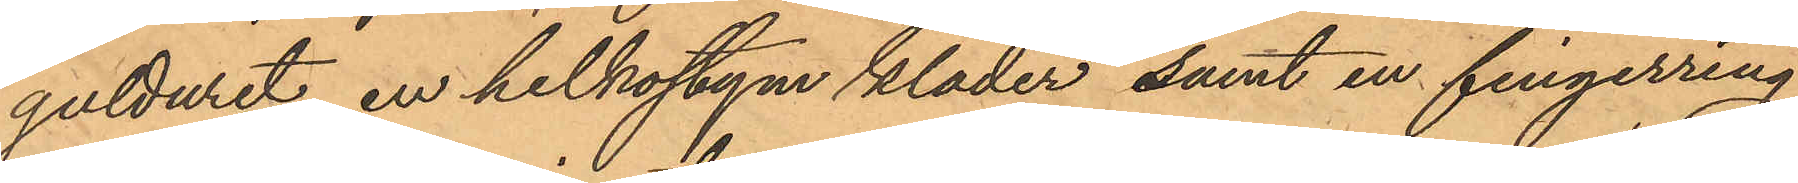gulduret, en helkostym kläder, samt en fingerring
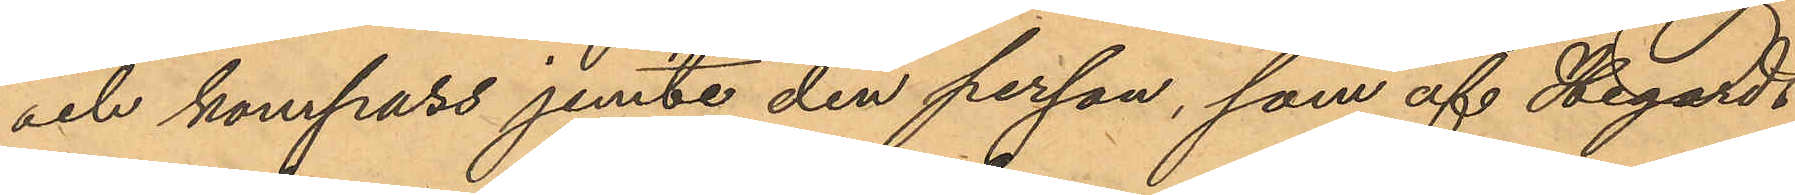och kompass jemte den person, som af Hegardt
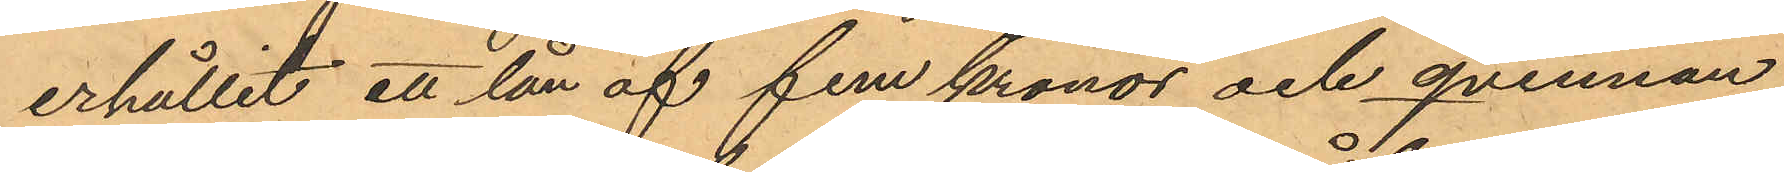erhållit ett lån af fem kronor och qvinnan,
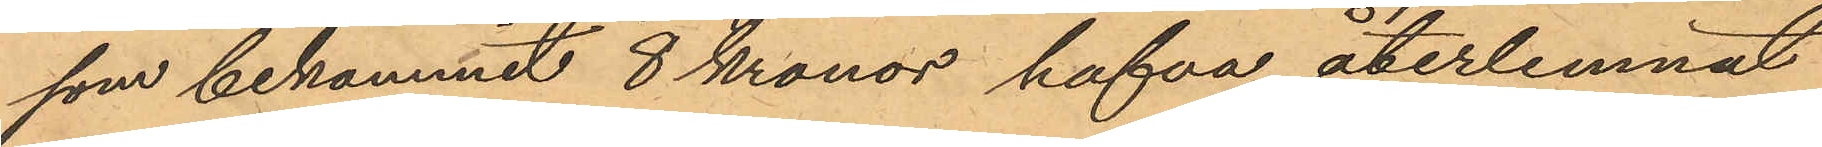som bekommit 8 Kronor hafva återlemnat
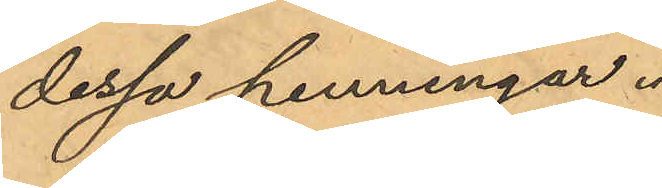dessa penningar.
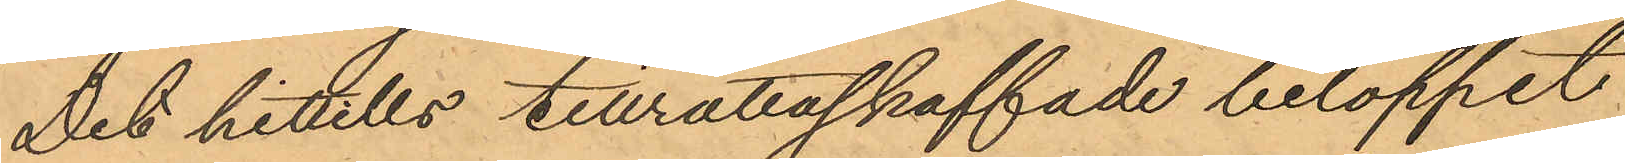Det hittills tillrättaskaffade beloppet
